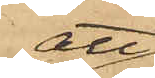att
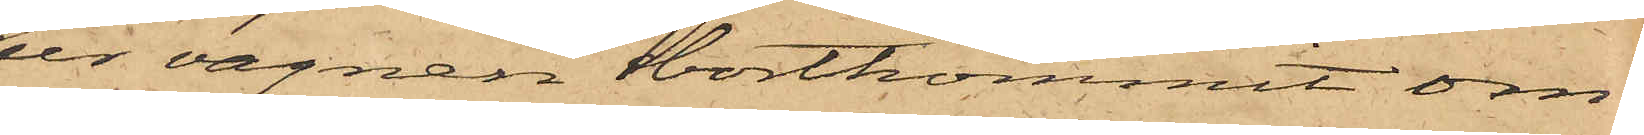ur vagnen bortkommit om¬
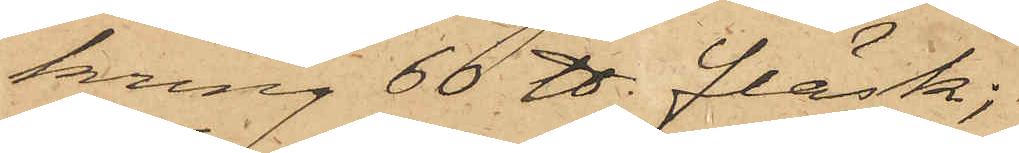kring 60 ℔ fläsk,
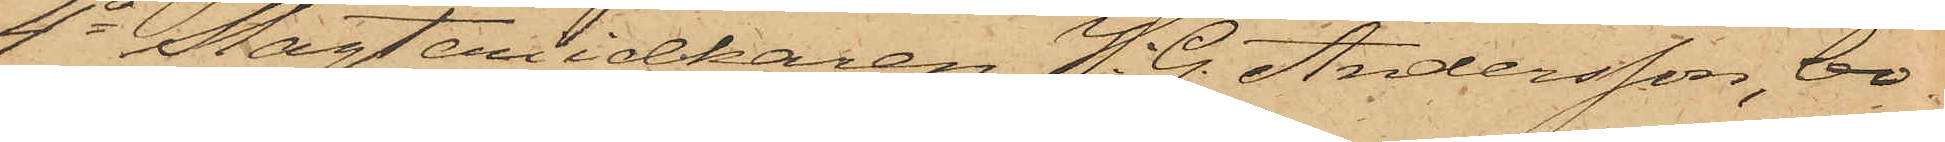4o Slagteriidkaren H. G. Andersson, bo¬
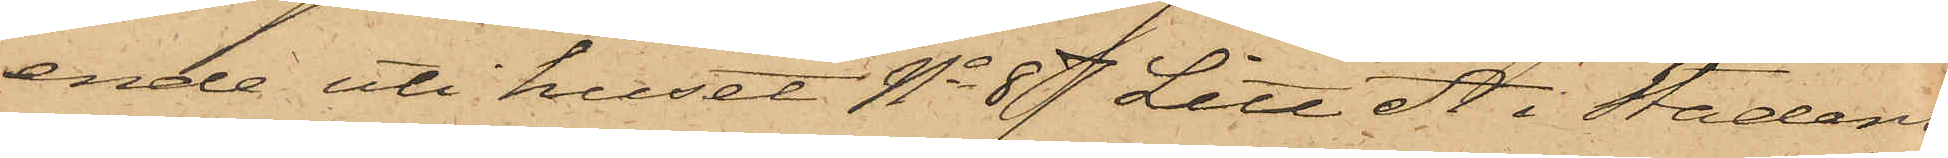ende uti huset No 87 Litt A i Stadens
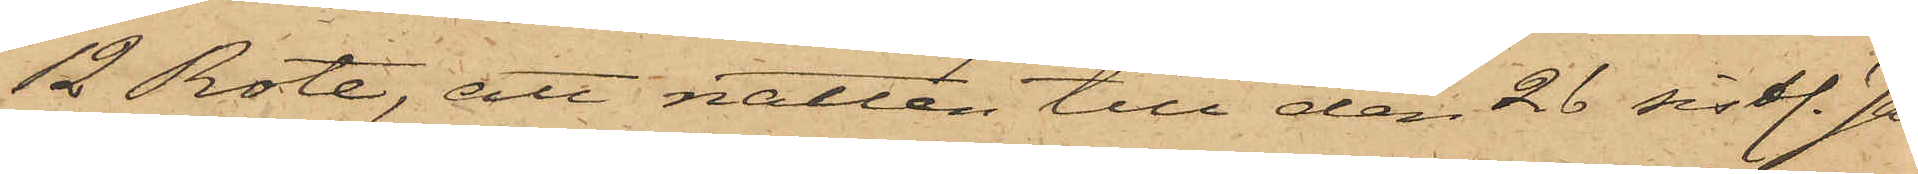12 Rote, att natten till den 26 sistl. Ja¬
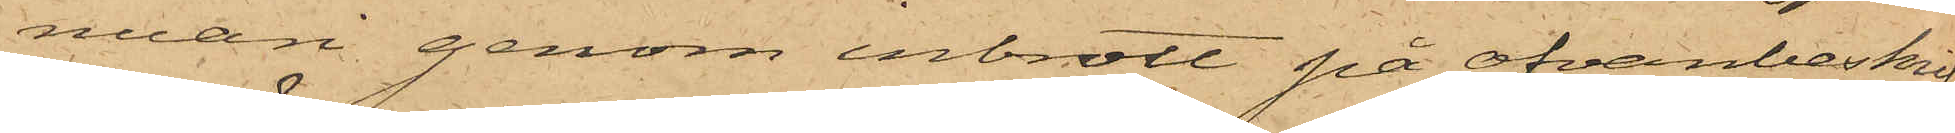nuari genom inbrott på ofvanbeskrif¬
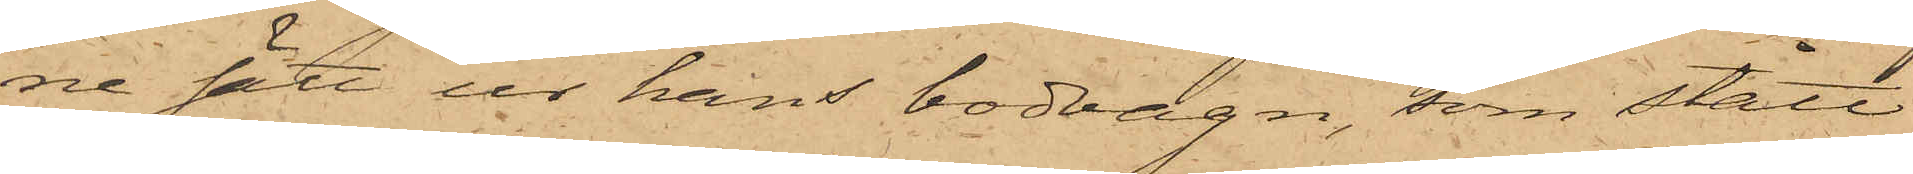ne sätt ur hans bodvagn, som stått
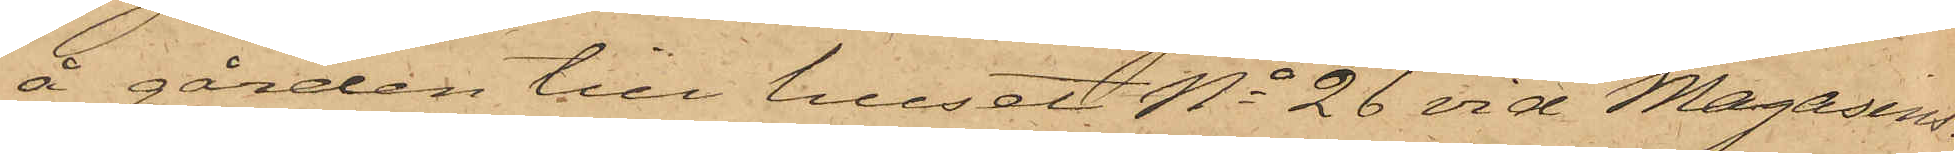å gården till huset No 26 vid Magasins¬
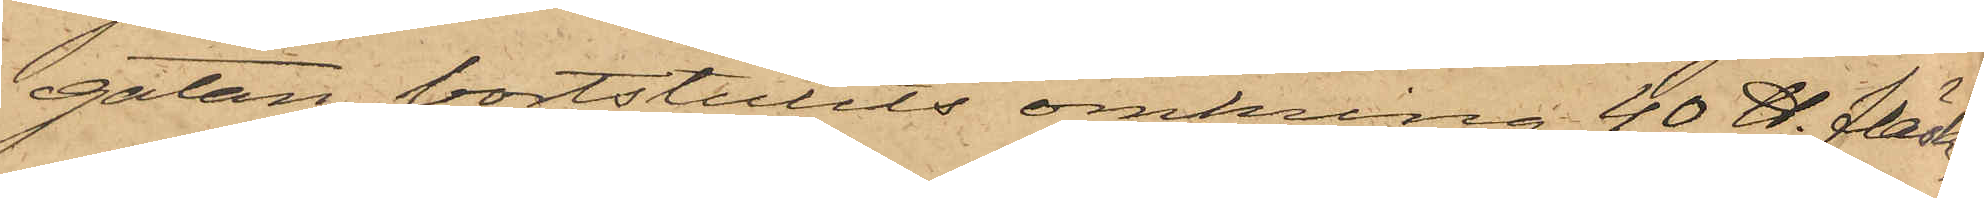gatan, bortstulits omkring 40 ℔ fläsk;
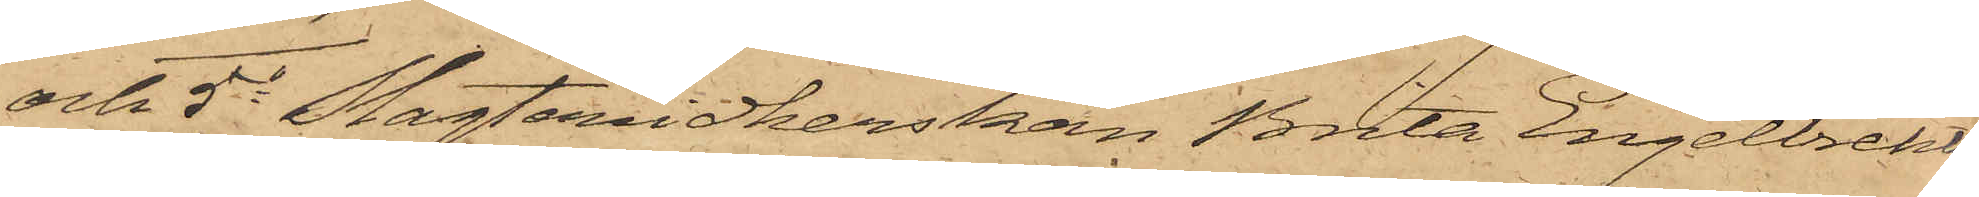och 5o Slagteridkerskan Brita Engelbrekts¬
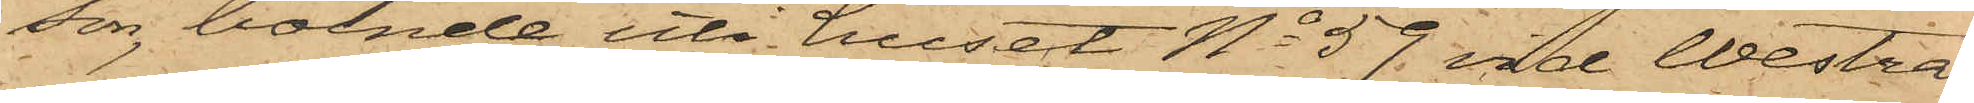son, boende uti huset No 59 vid Westra
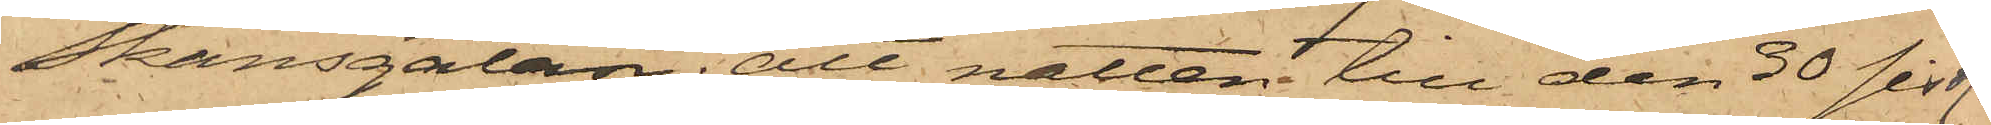Skansgatan; att natten till den 30 sistl.
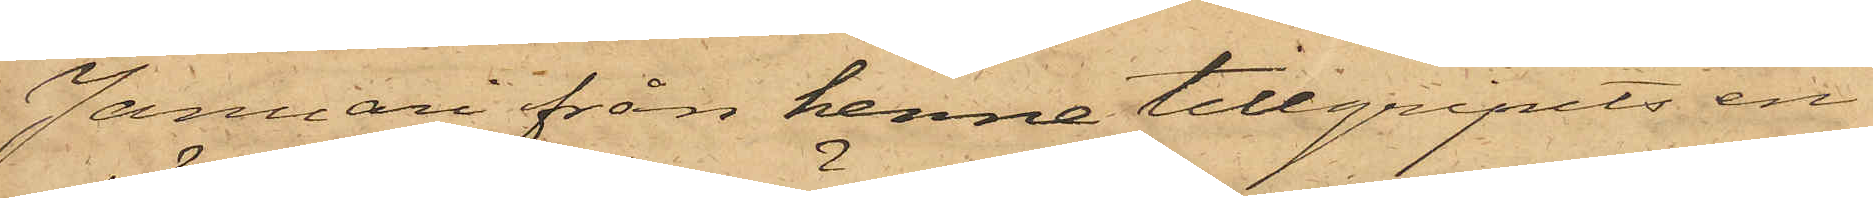Januari från henne tillgripits en
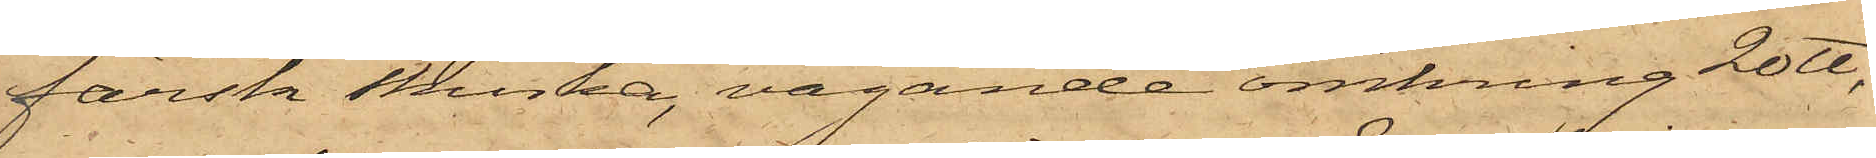färsk skinka, vägande omkring 20 ℔,
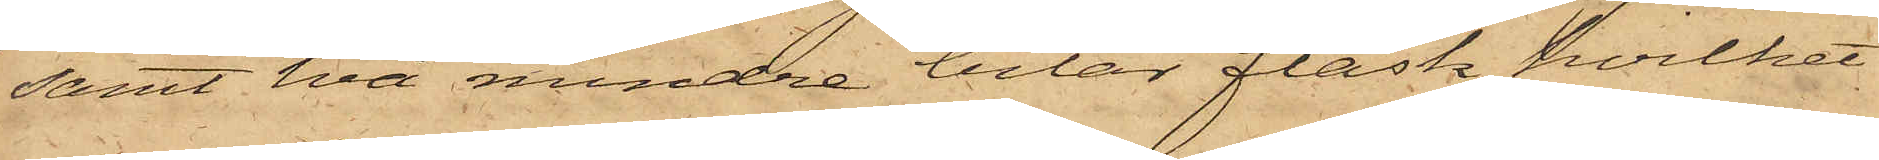samt två mindre bitar fläsk, hvilket
